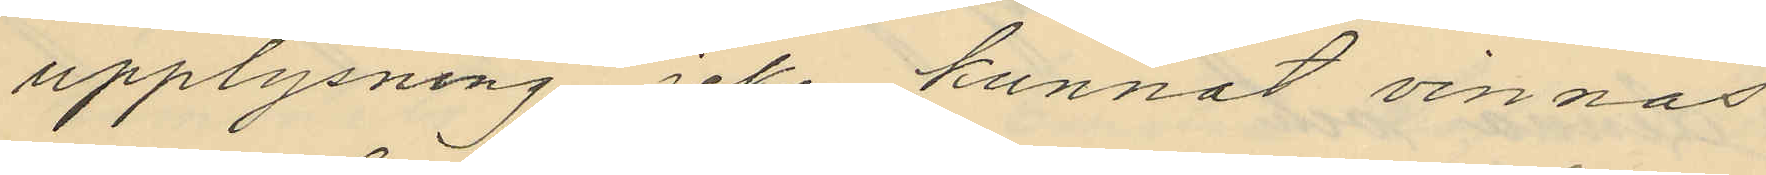upplysning icke kunnat vinnas
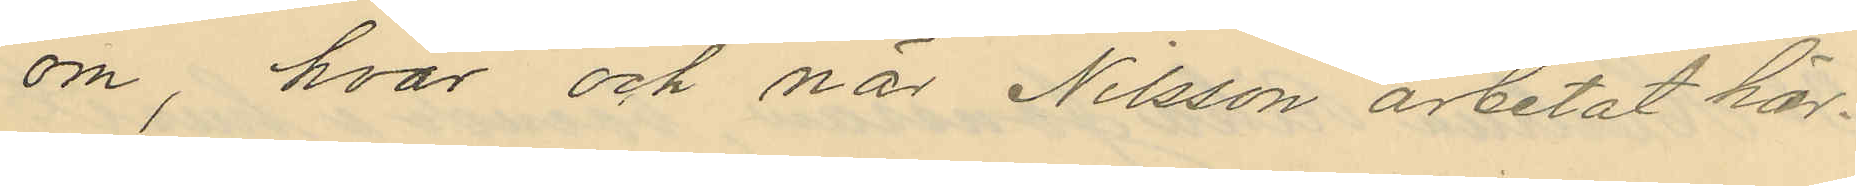om, hvar och när Nilsson arbetat här.
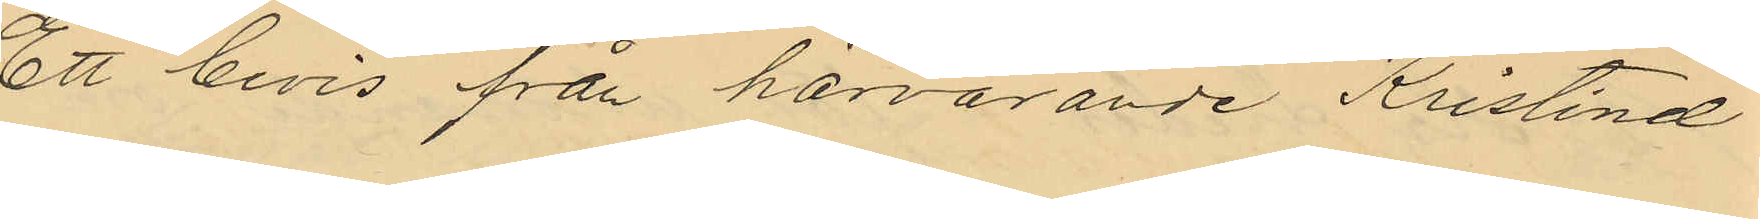Ett bevis från härvarande Kristinæ
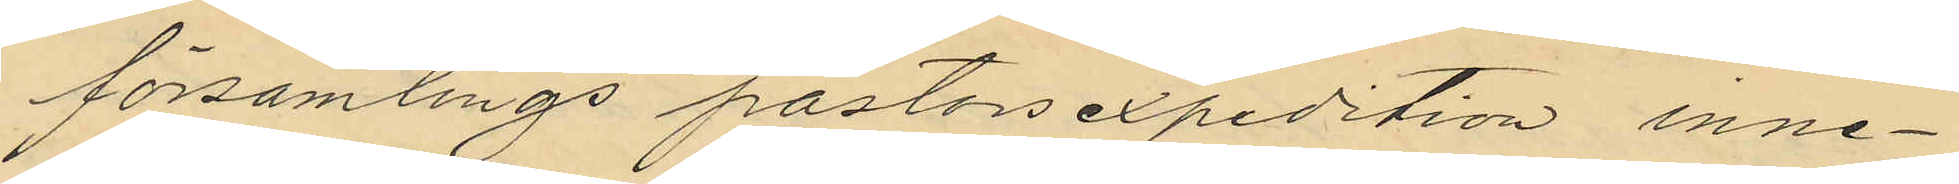församlings pastorsexpedition inne¬
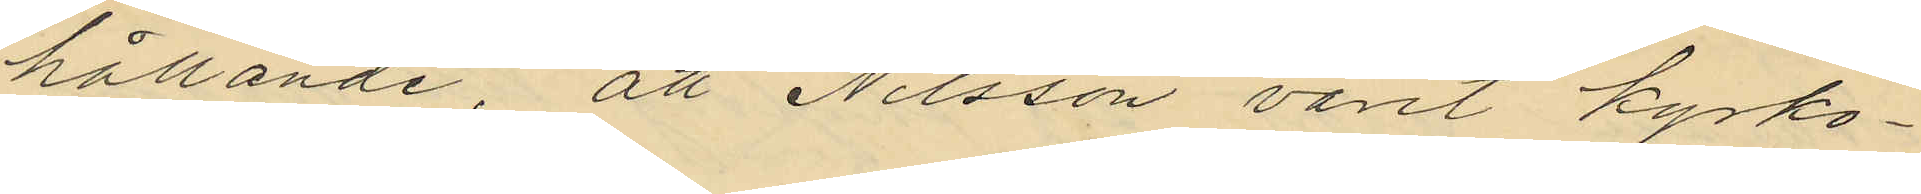hållande, att Nilsson varit kyrko¬
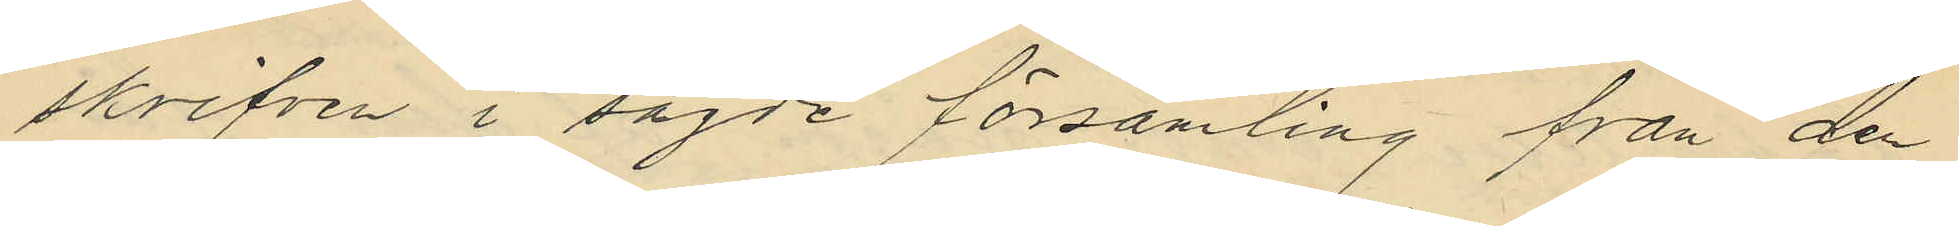skrifven i sagde församling från den
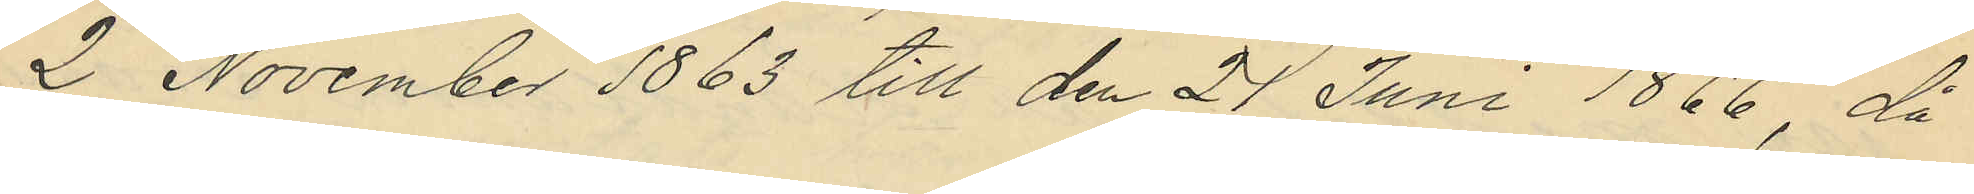2 November 1863 till den 24 Juni 1866, då
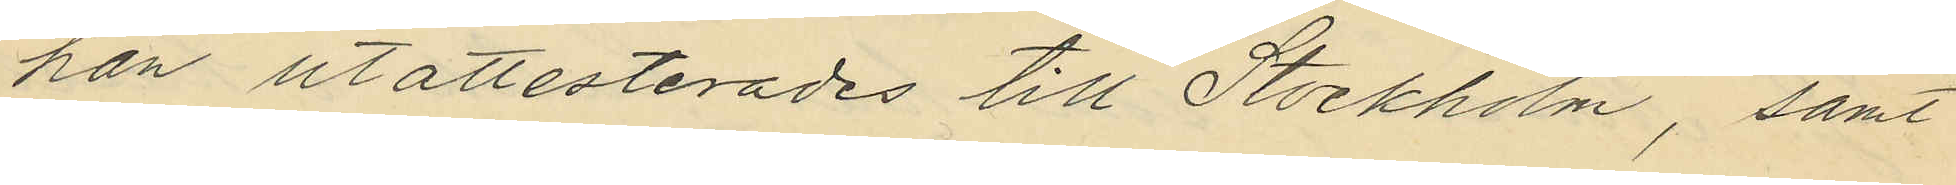han utattesterades till Stockholm, samt
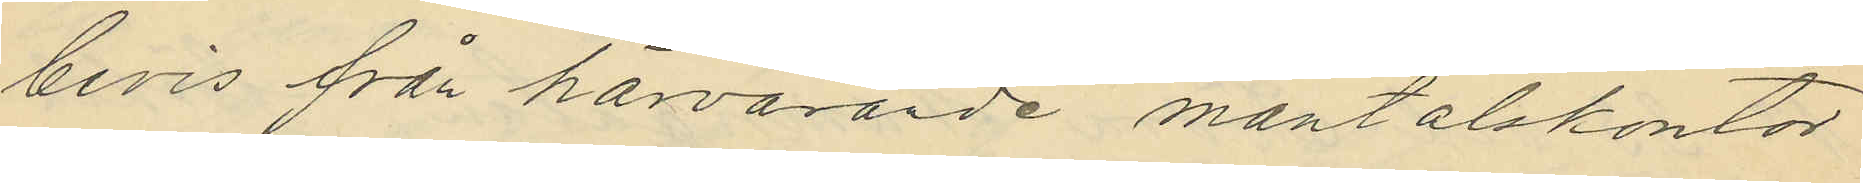bevis från härvarande mantalskontor
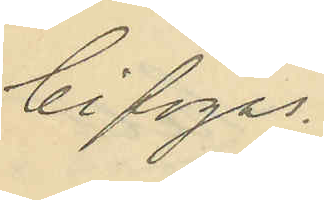bifogas.
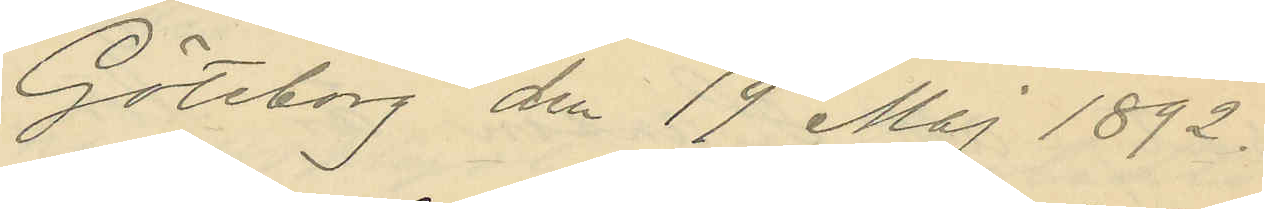Göteborg den 19 Maj 1892.
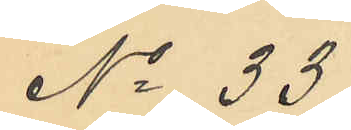No 33
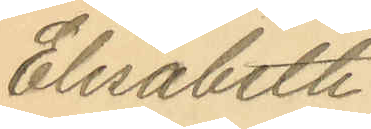Elisabeth
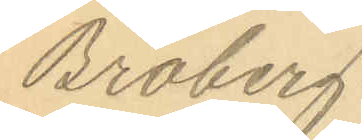Broberg.
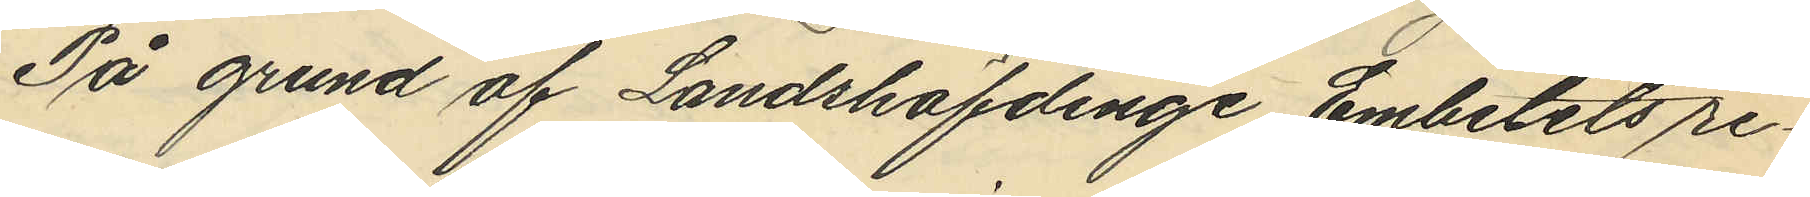På grund af Landshöfdinge Embetets re¬
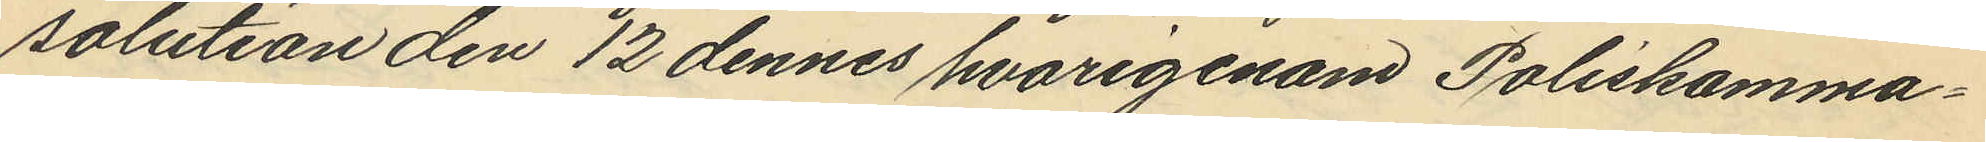solution den 12 dennes hvarigenom Poliskamma¬
